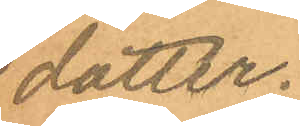dotter.
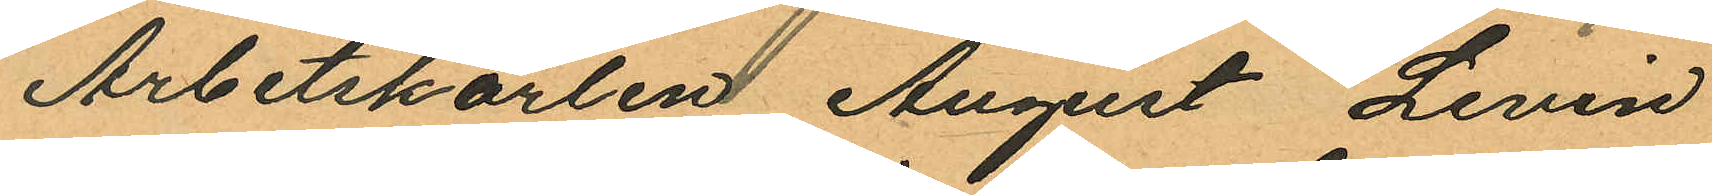Arbetskarlen August Levin
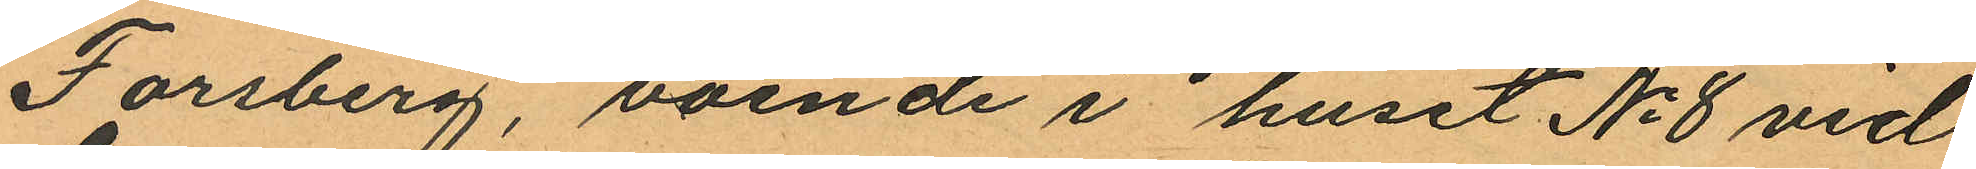Forsberg, boende i huset No 8 vid
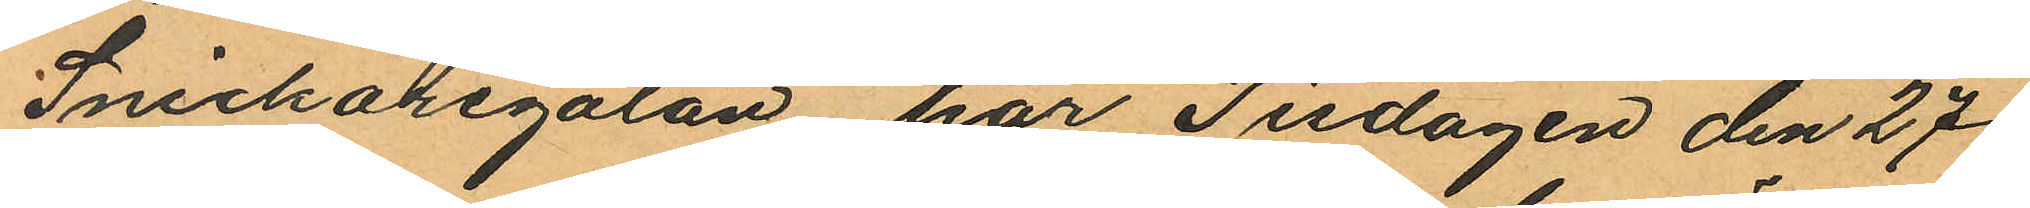Snickaregatan har Tisdagen den 27
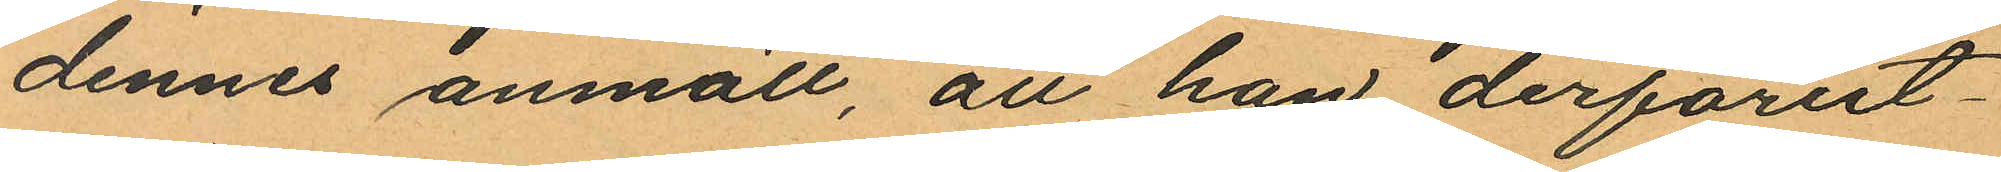dennes anmält, att han derförut¬
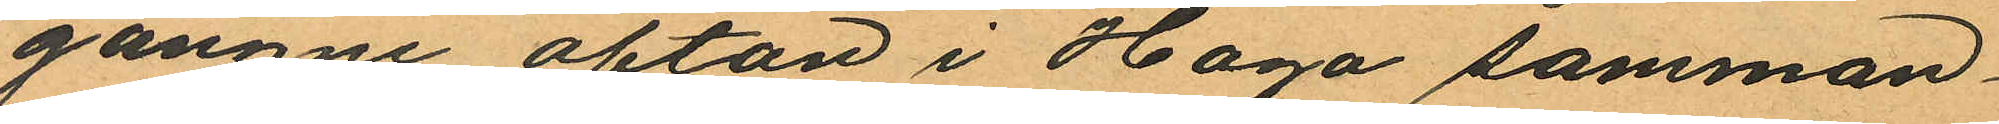gångne afton i Haga samman
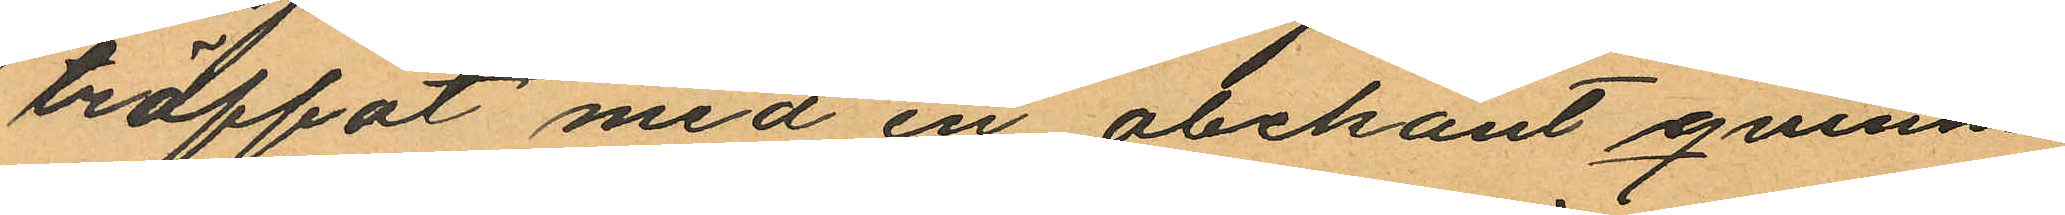träffat med en obekant qvinna
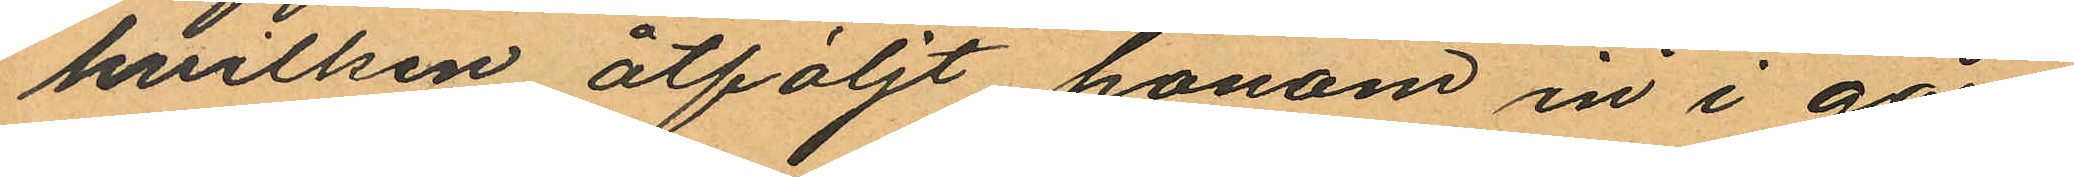hvilken åtföljt honom in i går
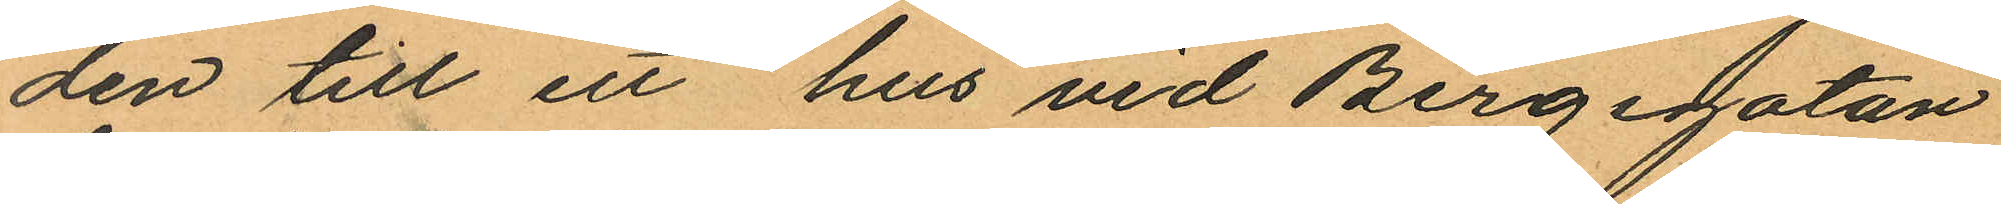den till ett hus vid Bergsgatan
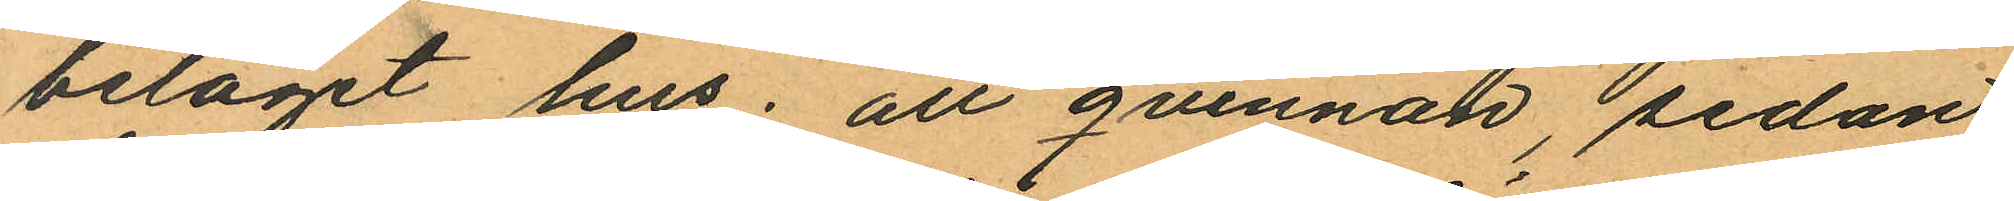beläget hus; att qvinnan, sedan
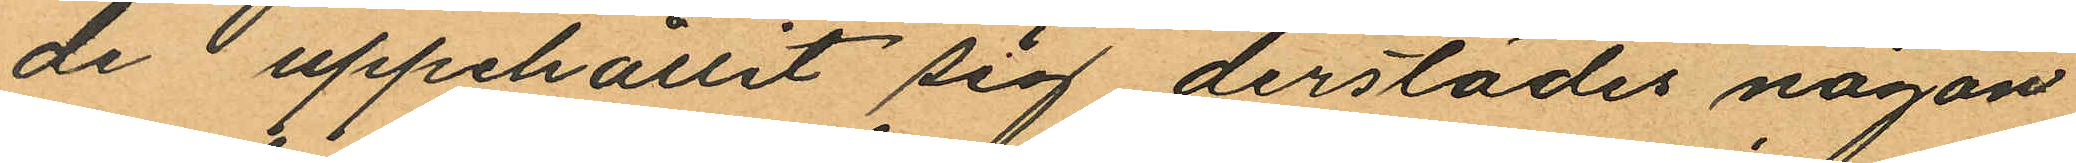de uppehållit sig derstädes någon
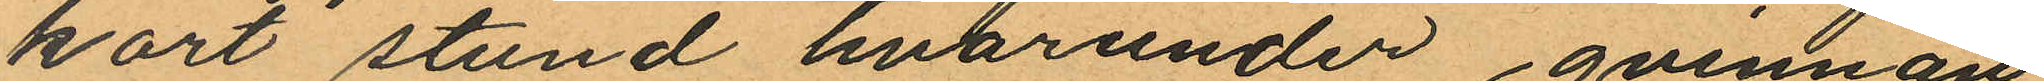kort stund hvarunder qvinnan
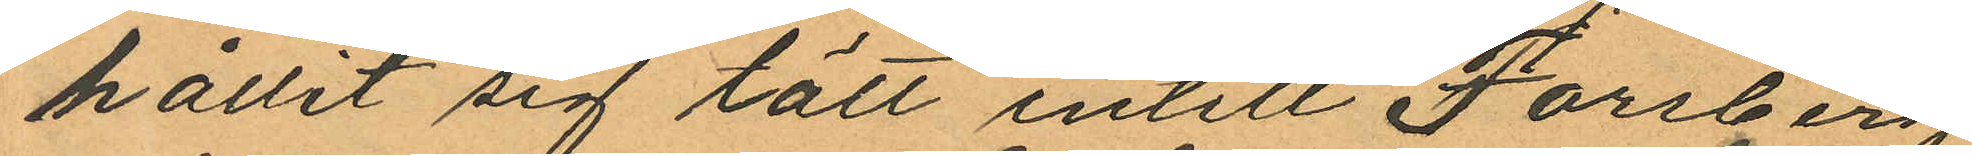hållit sig tätt intill Forsberg
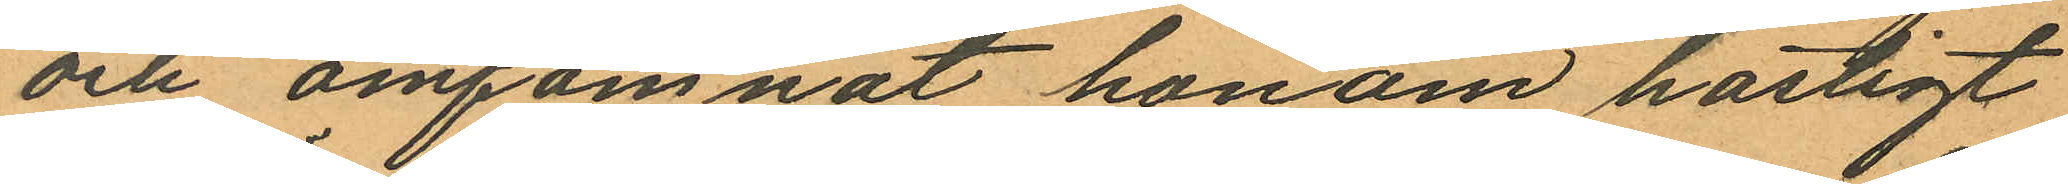och omfamnat honom hastigt
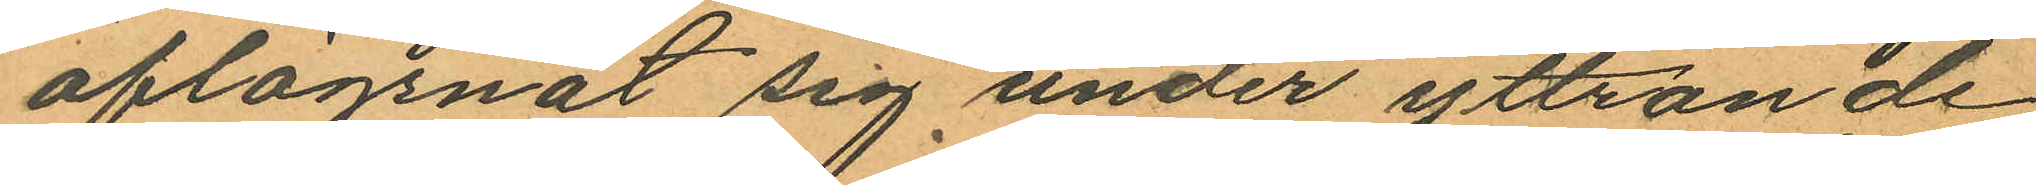aflägsnat sig under yttrande
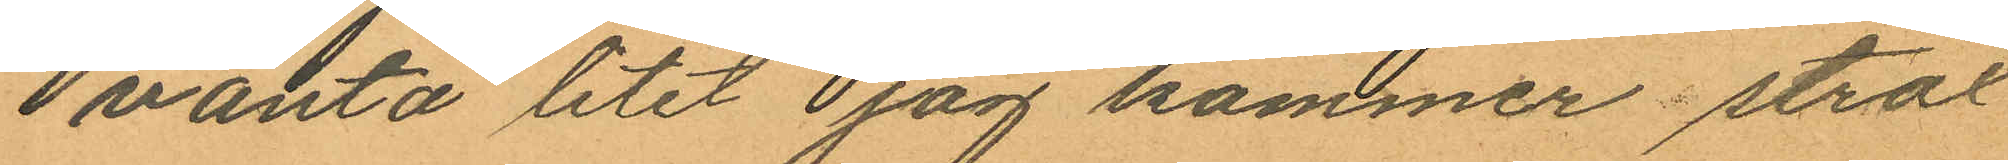i vänta litet jag kommer strax
